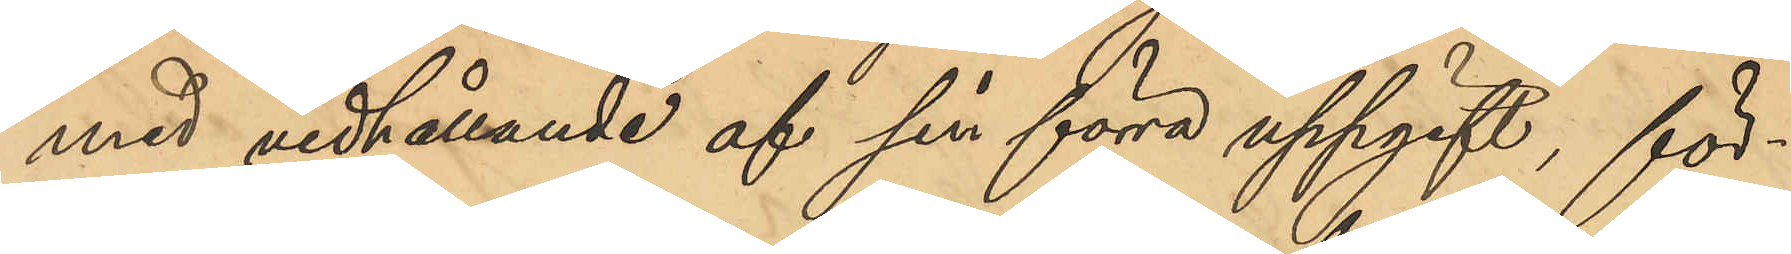med vidhållande af sin förra uppgift, för¬
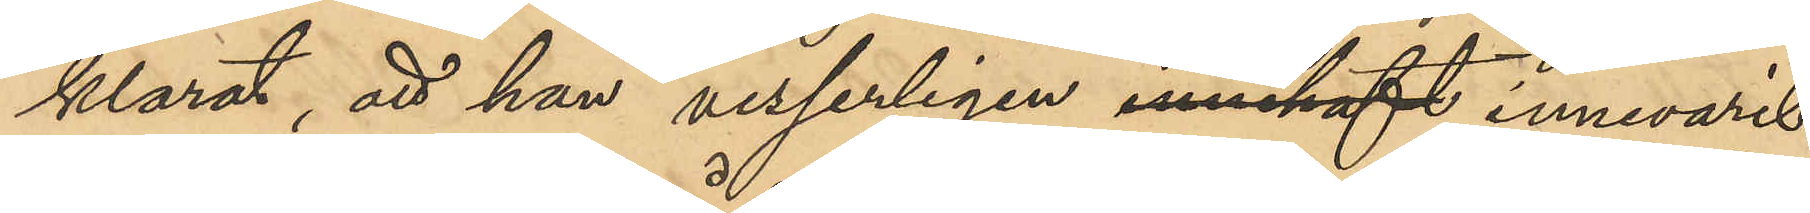klarat, att han visserligen innehaft innevarit
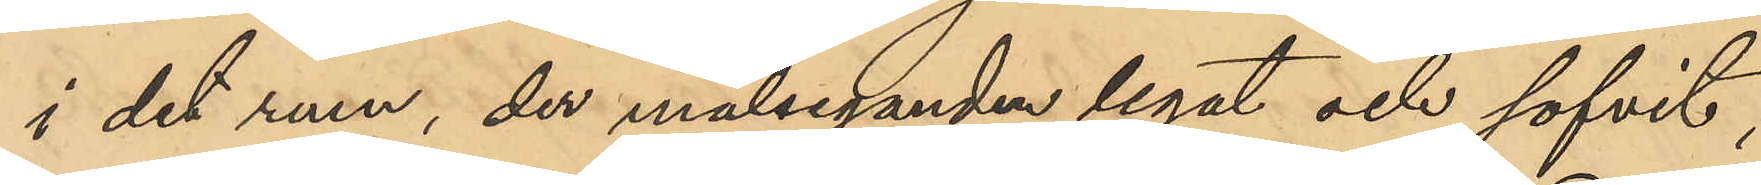i det rum, der målseganden legat och sofvit,
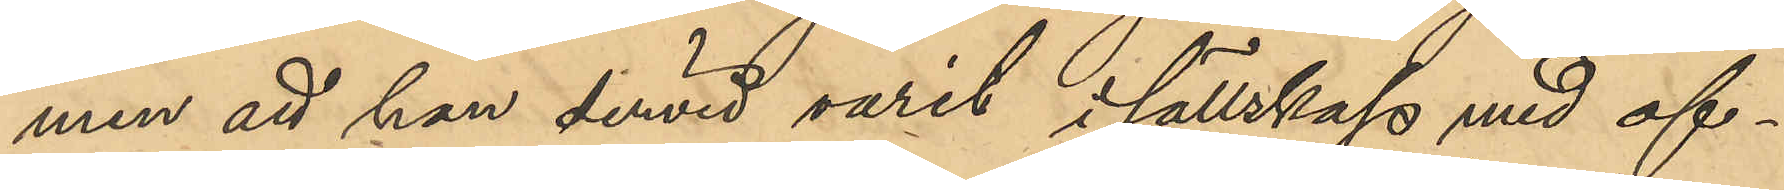men att han dervid varit i sällskap med of¬
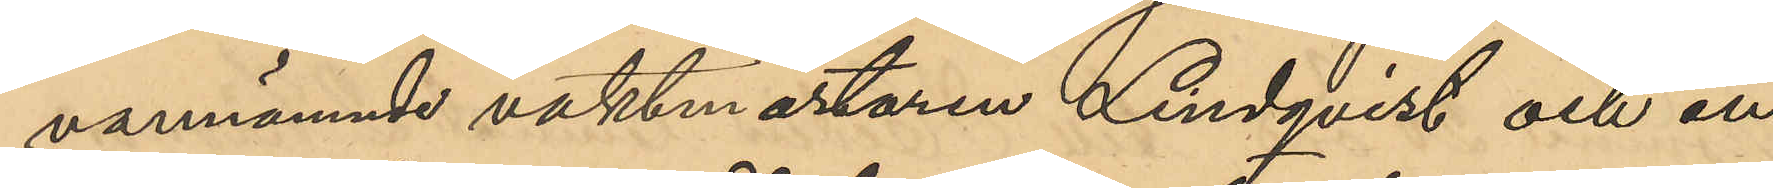vannämnde vaktmästaren Lindqvist och en
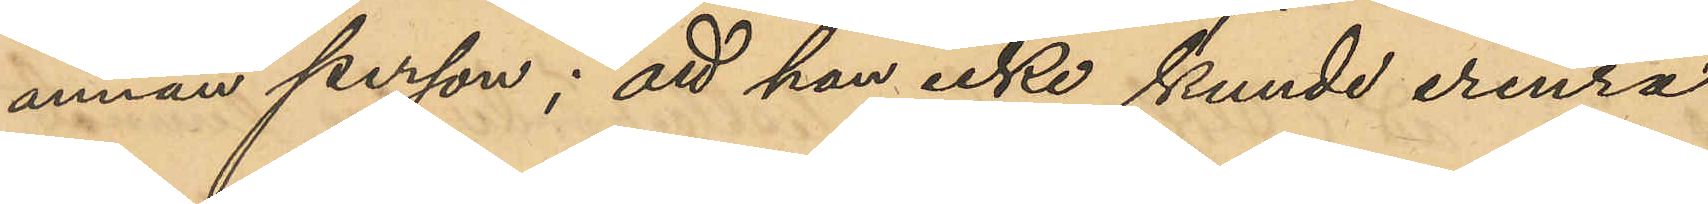annan person; att han icke kunde erinra
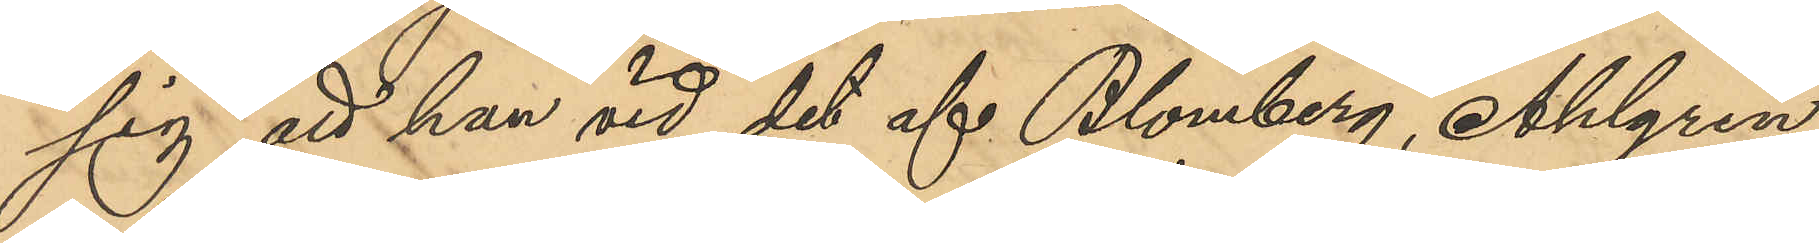sig att han vid det af Blomberg, Ahlgren
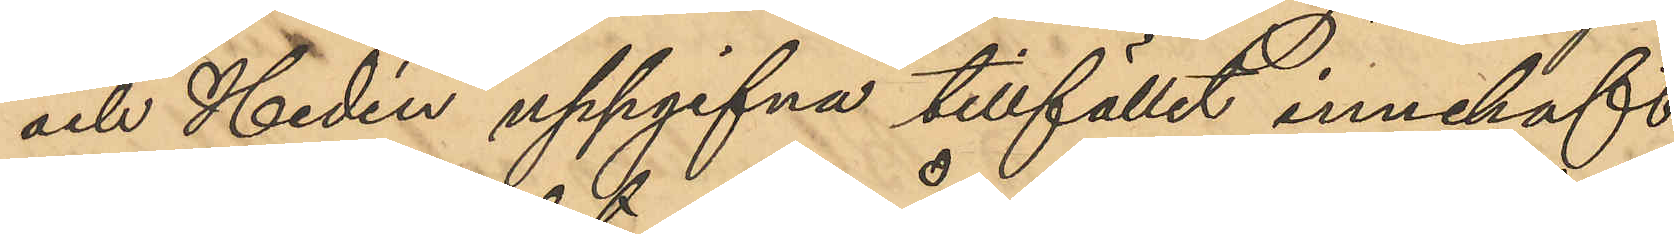och Hedén uppgifna tillfället innehaft
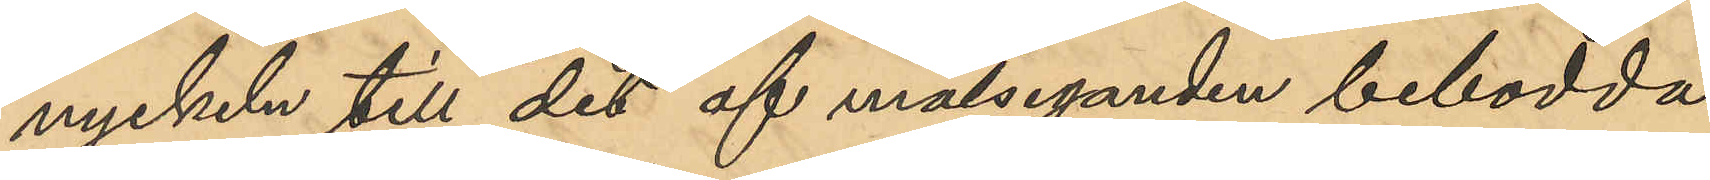nyckeln till det af målseganden bebodda
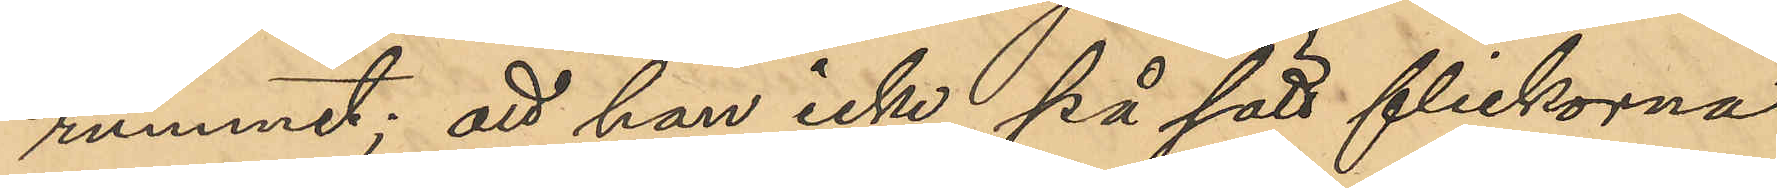rummet; att han icke, på sätt flickorna
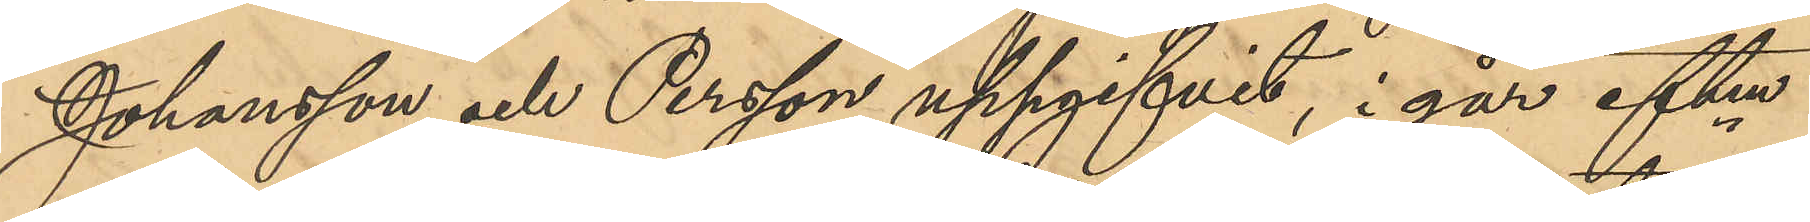Johansson och Person uppgifvit, i går eftm
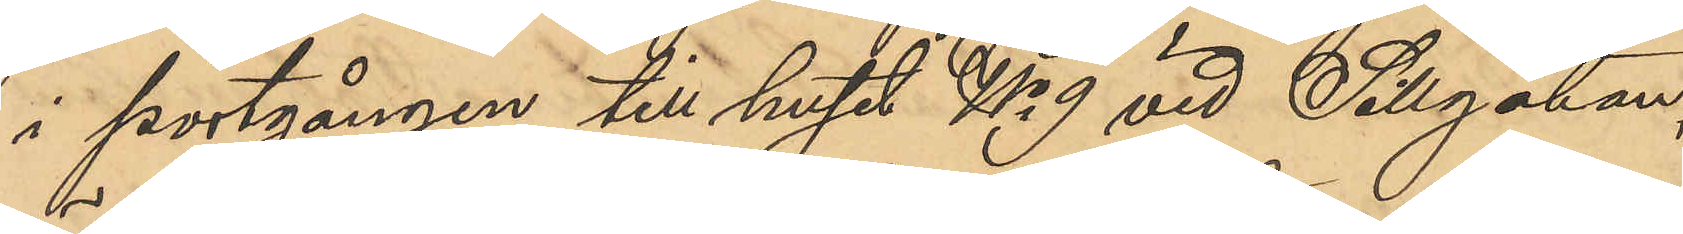i portgången till huset No 9 vid Sillgatan,
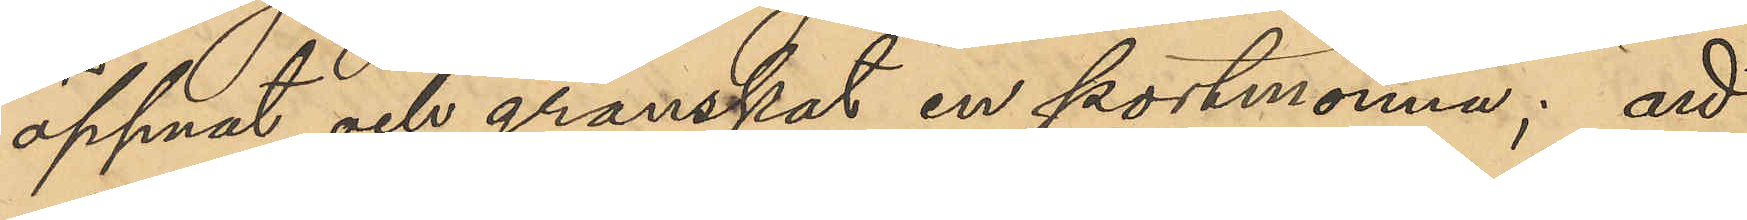öppnat och granskat en portmonnä; att
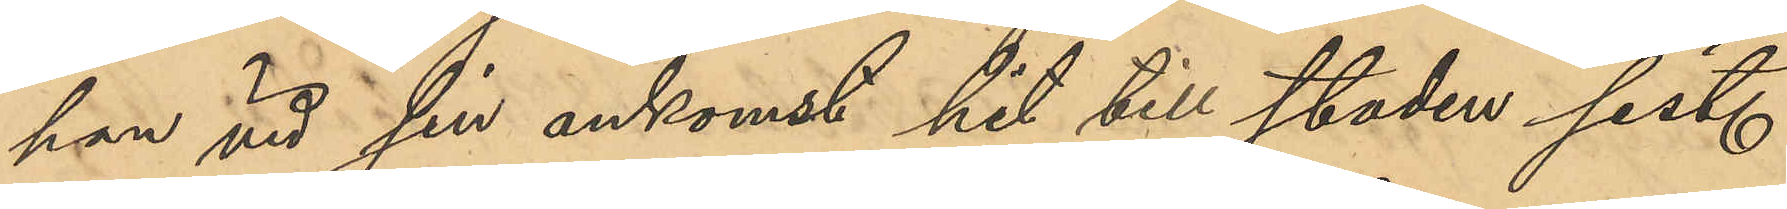han vid sin ankomst hit till staden sist.
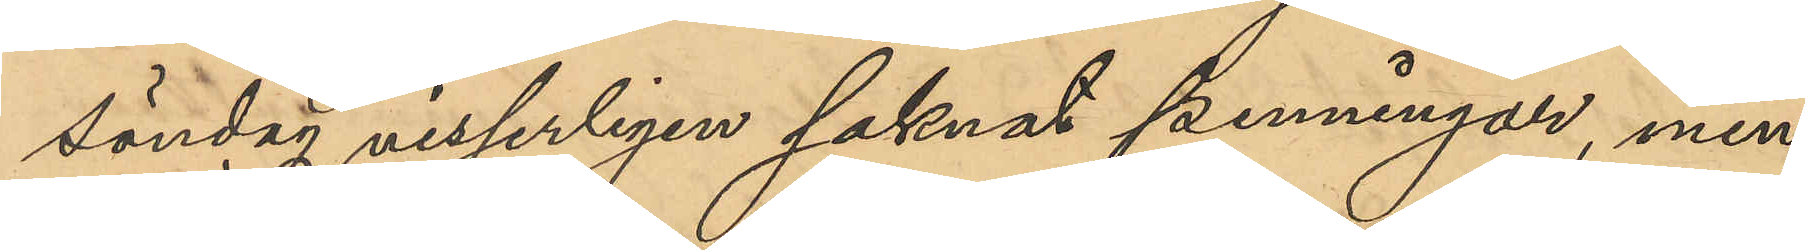söndag visserligen saknat penningar, men
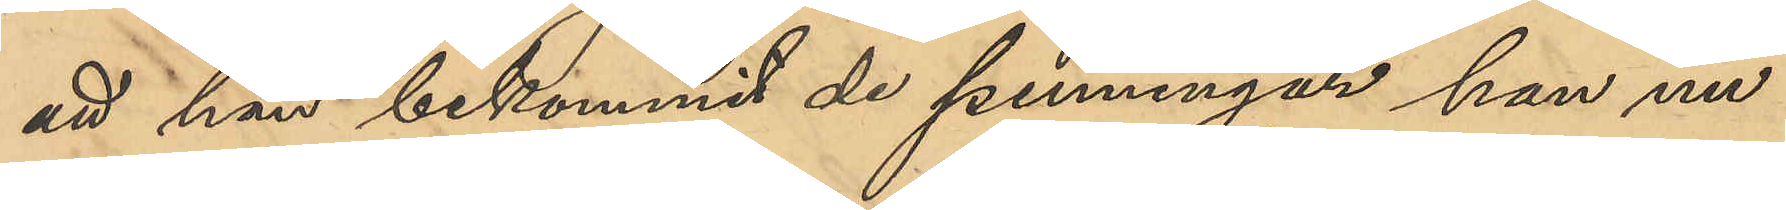att han bekommit de penningar han nu
